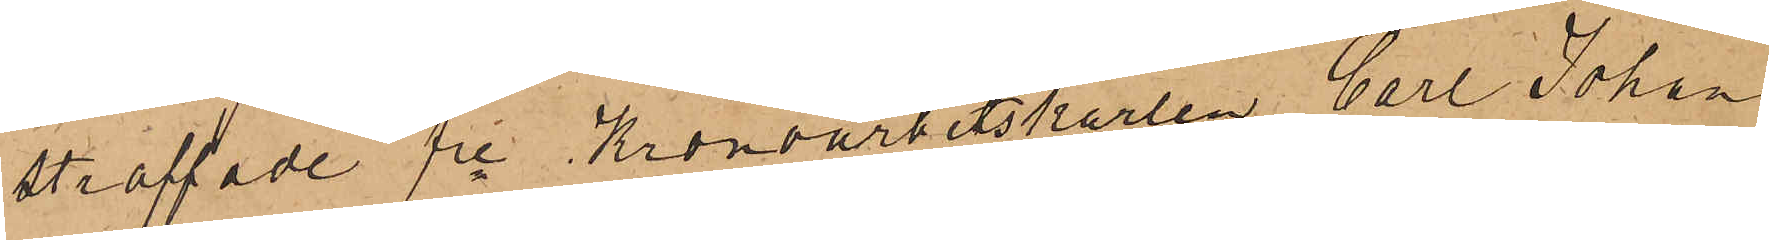straffade fre Kronoarbetskarlen Carl Johan
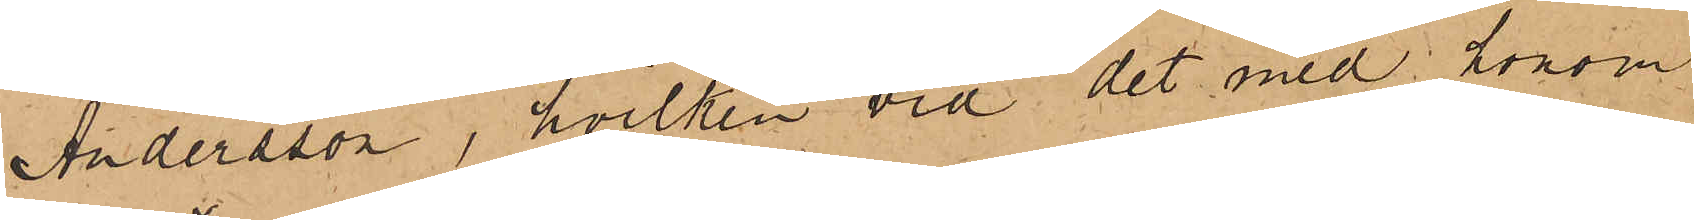Andersson, hvilken vid det med honom
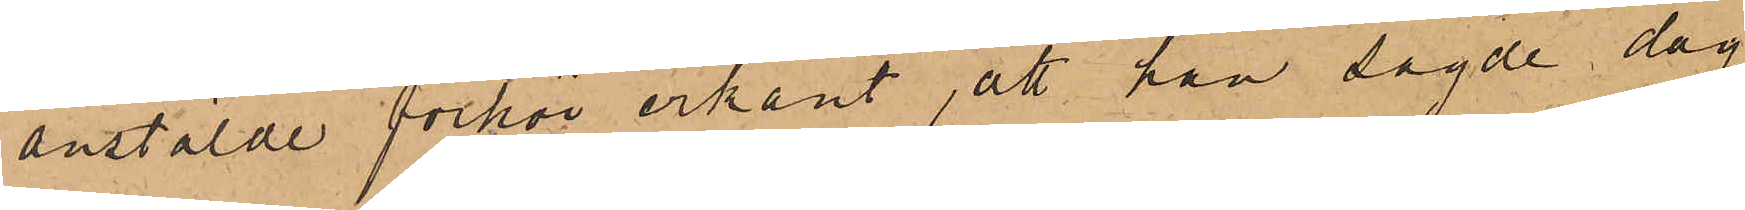anstälde förhör erkänt, att han sagde dag
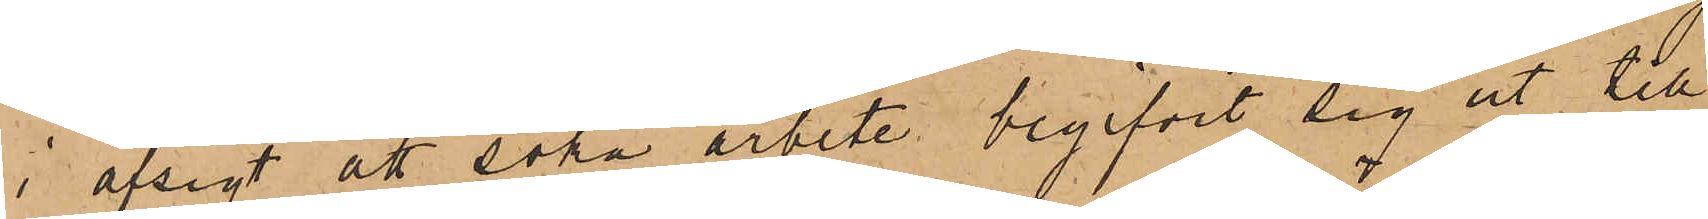i afsigt att söka arbete begifvit sig ut till
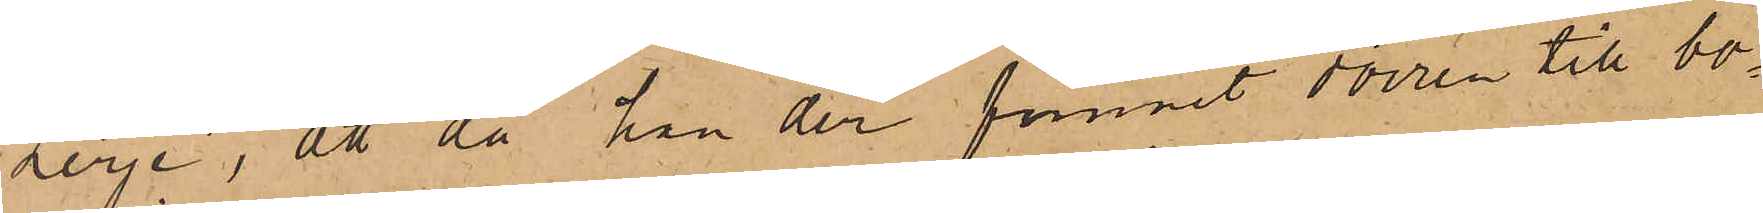Lerje, att då han der funnit dörren till bo¬
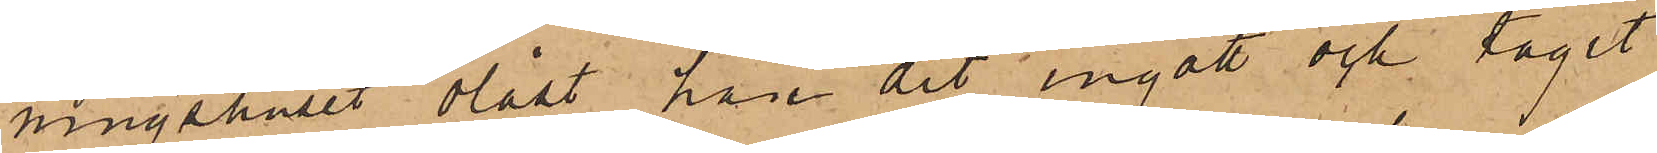ningshuset olåst han det ingått och tagit
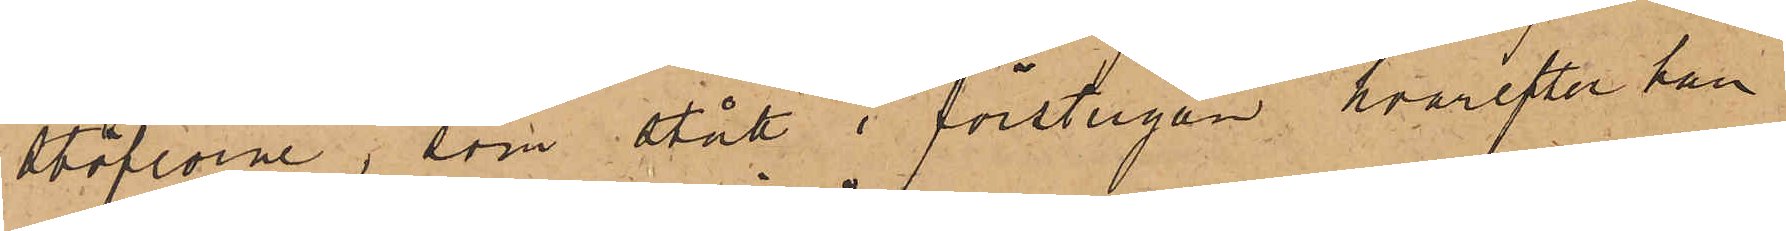stöflorne, som stått i förstugan, hvarefter han
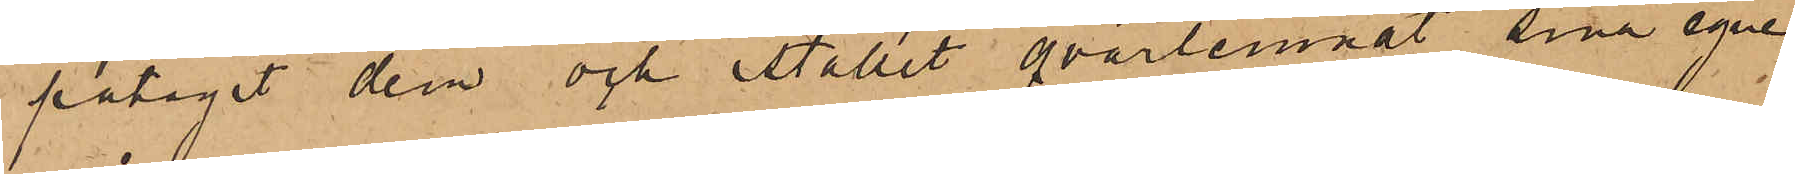påtagit dem och istället qvarlemnat sin egne
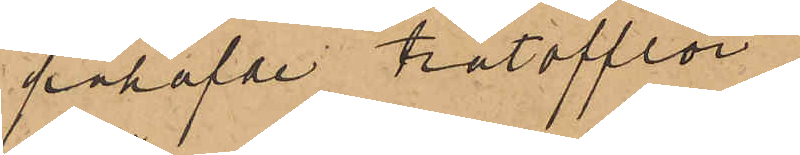påhafvde trätofflor.
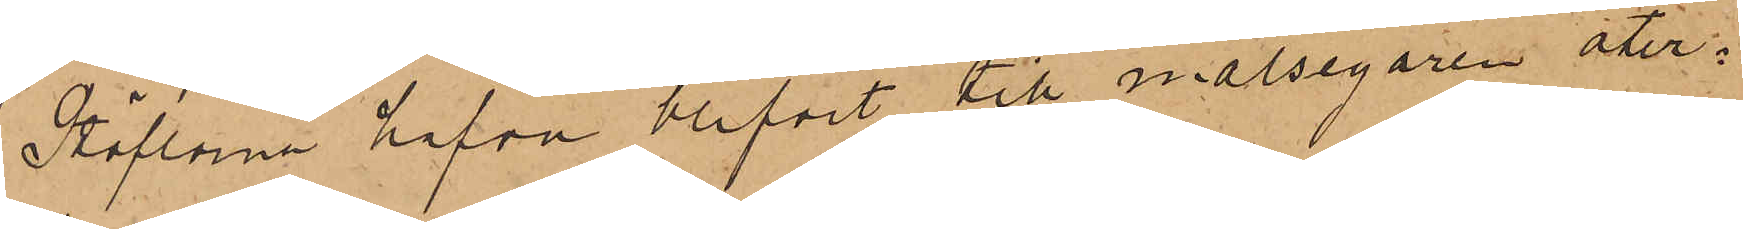Stöflorna hafva blifvit till målsegaren åter¬
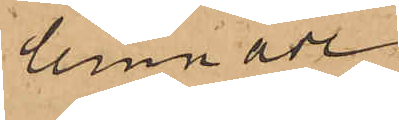lemnade.
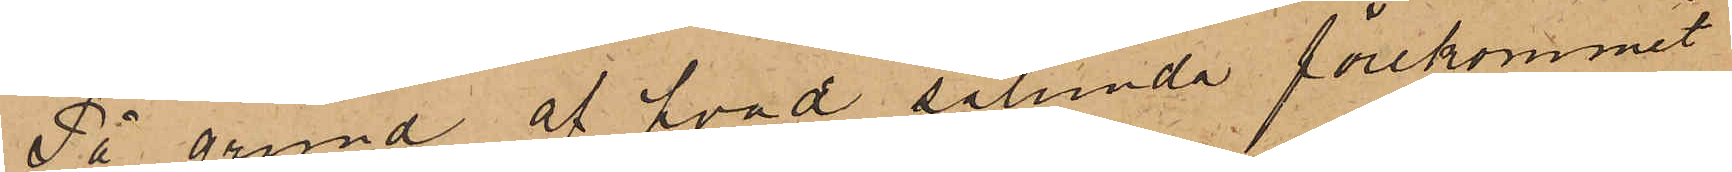På grund af hvad sålunda förekommit
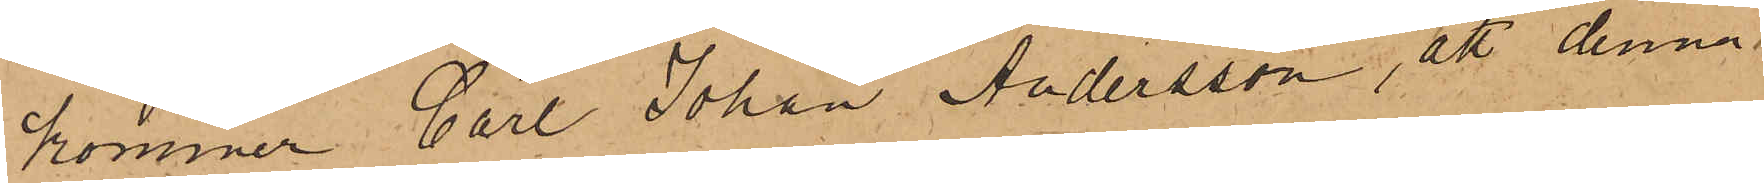kommer Carl Johan Andersson, att denna
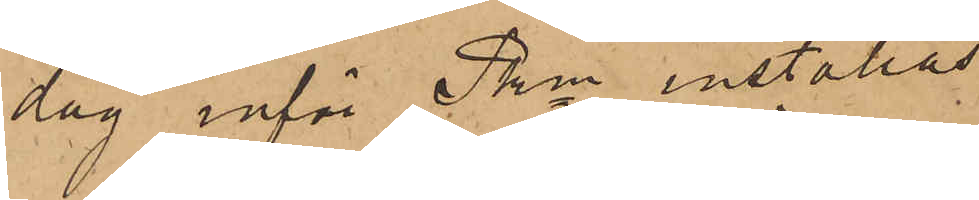dag inför Pkn inställas.
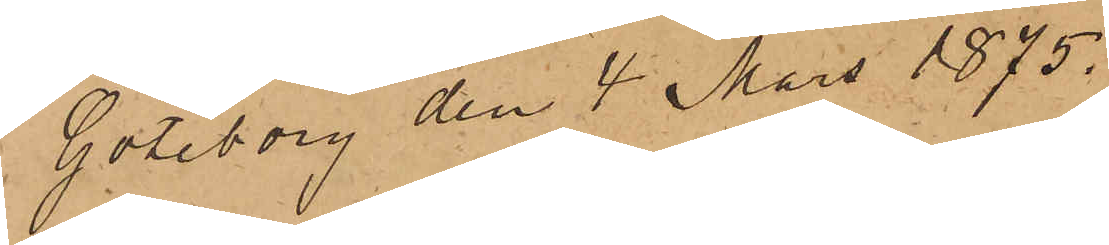Göteborg den 4 Mars 1875.
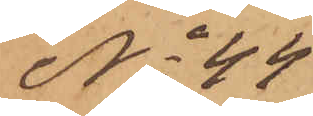No 44
